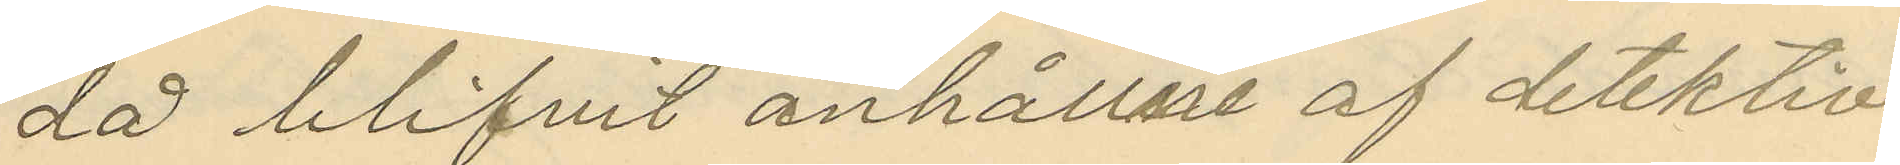då blifvit anhållne af detektiv¬
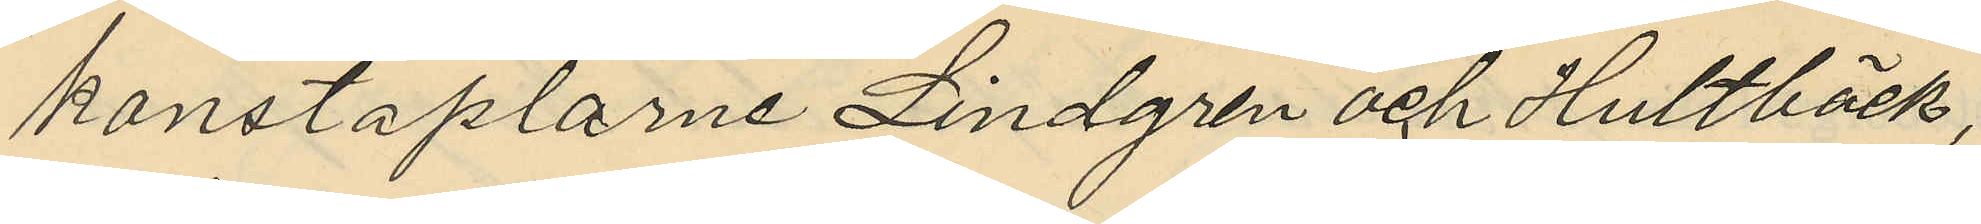konstaplarne Lindgren och Hultbäck,
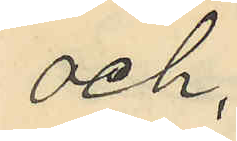och
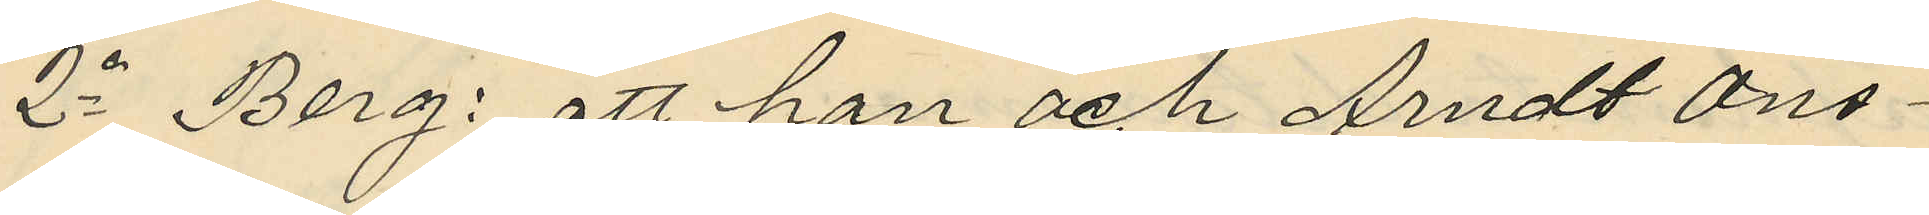2o Berg: att han och Arndt Ons¬
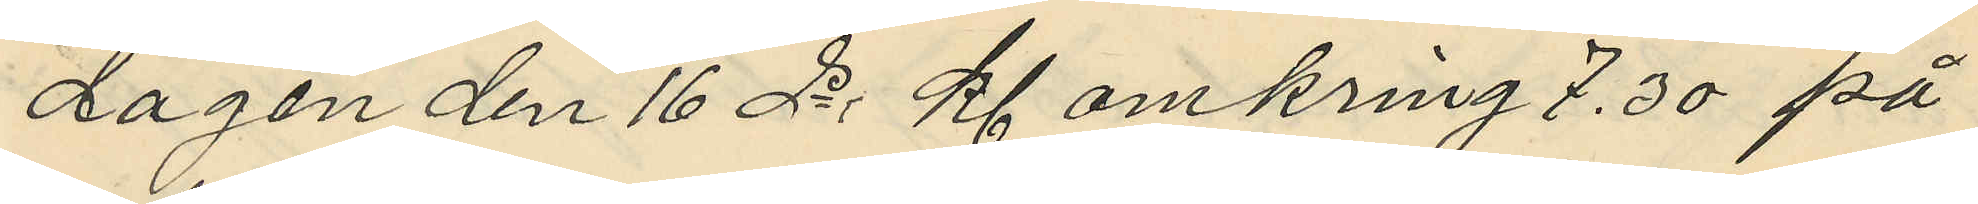dagen den 16 ds kl omkring 7.30 på
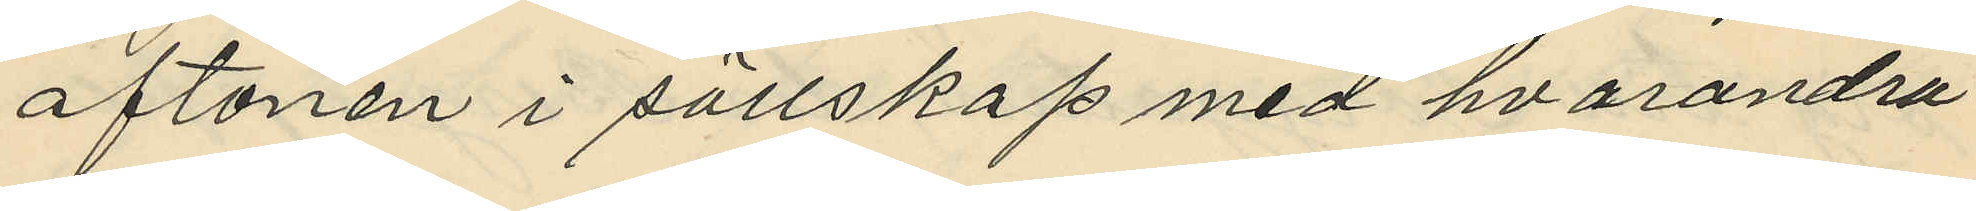aftonen i sällskap med hvarandra
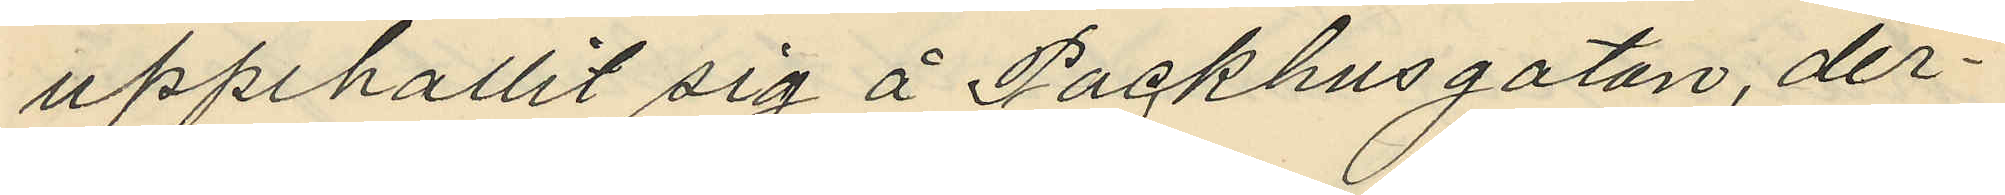uppehållit sig å Packhusgatan, der¬
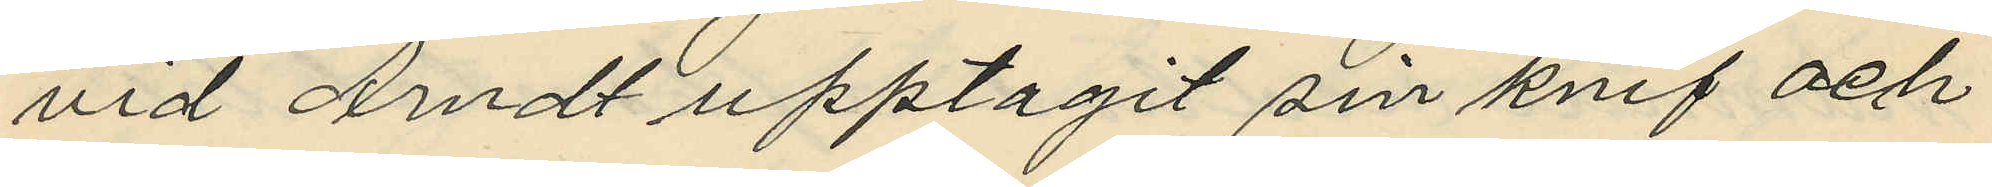vid Arndt upptagit sin knif och
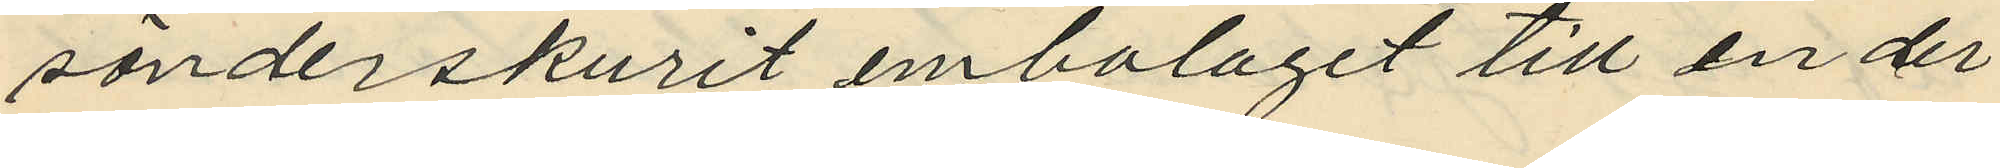sönderskurit embalaget till en der
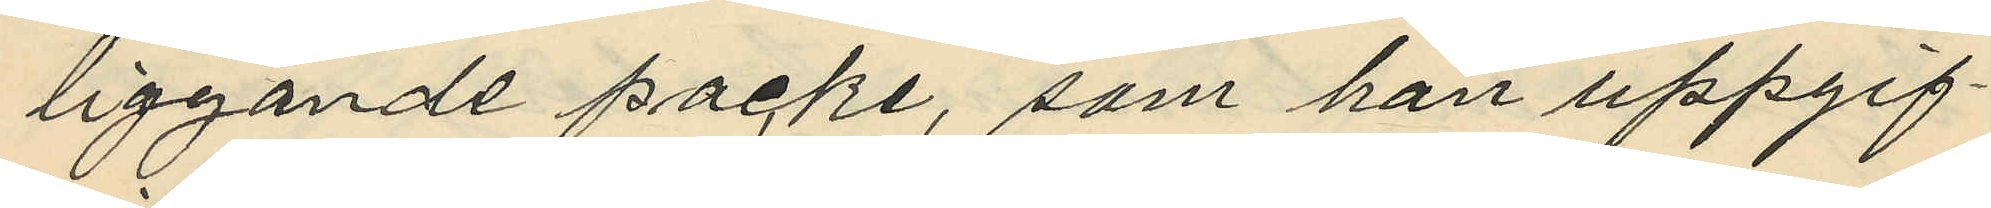liggande packe, som han uppgif¬
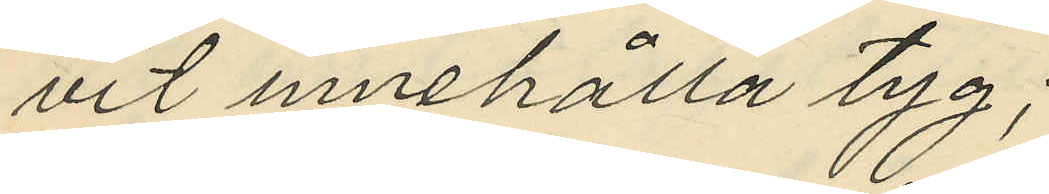vit innehålla tyg;
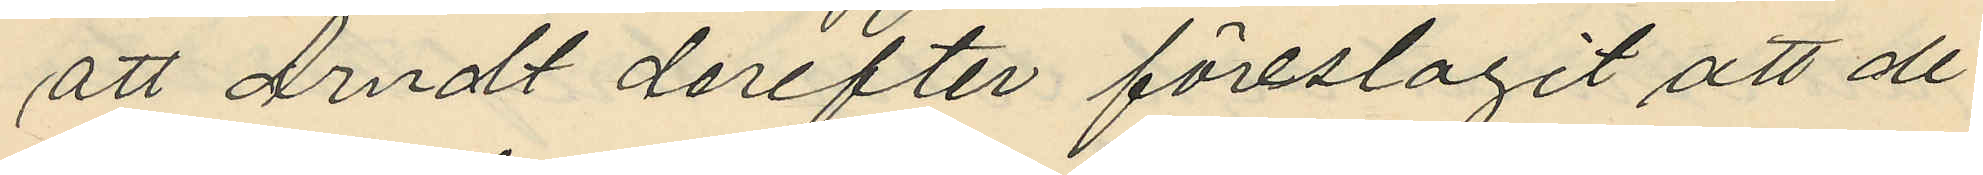att Arndt derefter föreslagit att de
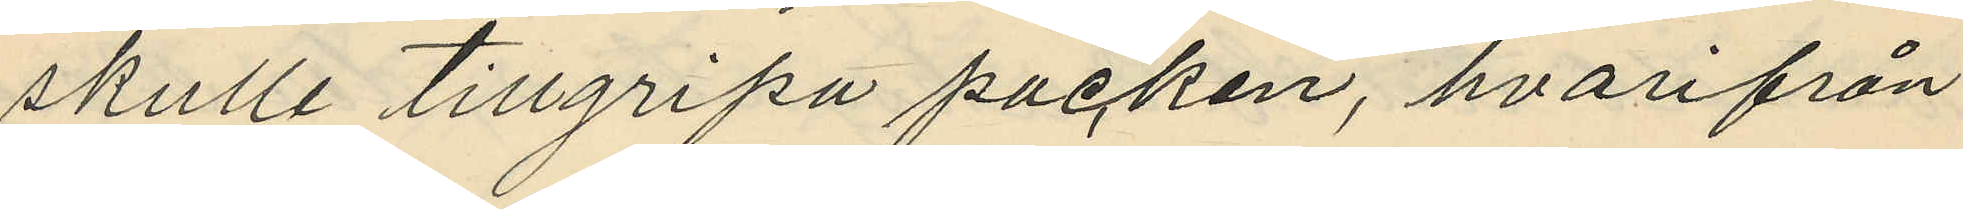skulle tillgripa packen, hvarifrån
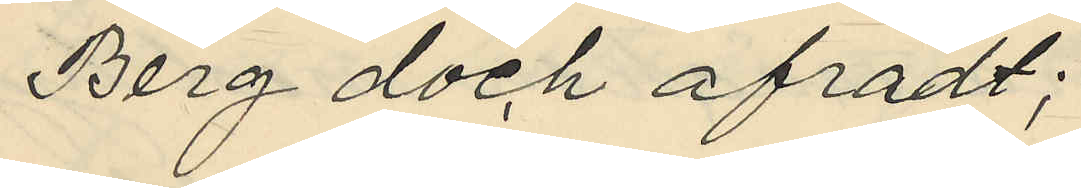Berg dock afrådt;
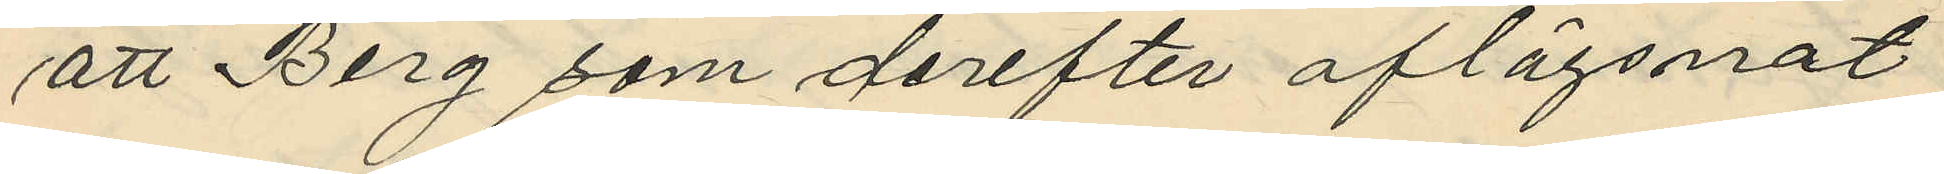att Berg som derefter aflägsnat
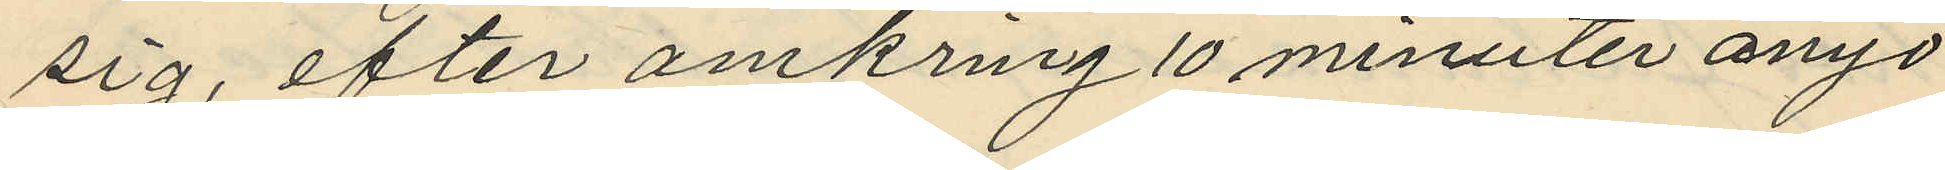sig, efter omkring 10 minuter ånyo
